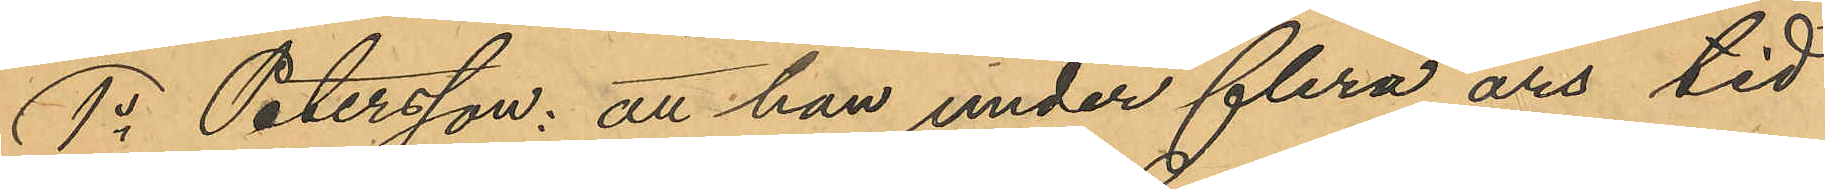1o Petersson: att han under flera års tid
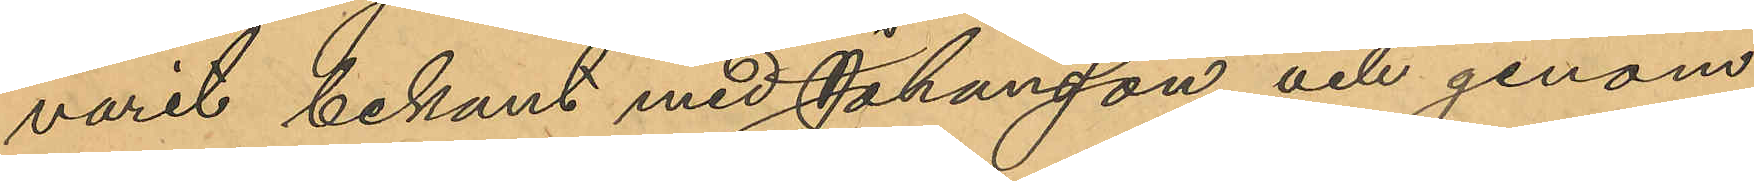varit bekant med Johansson och genom
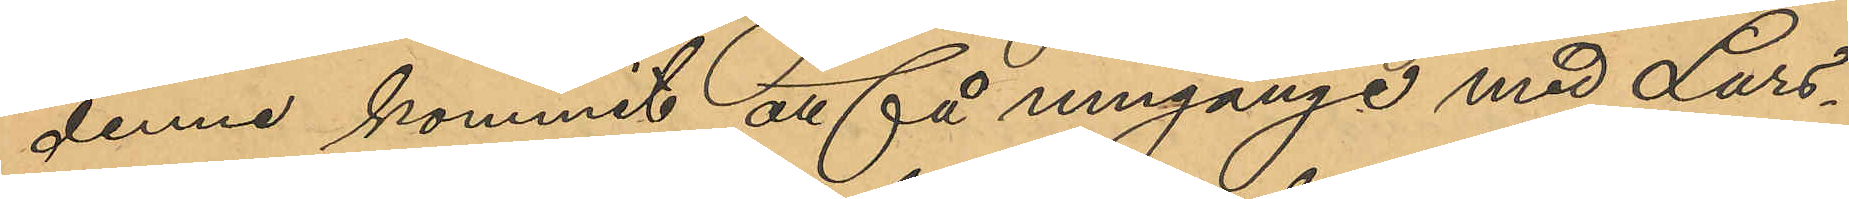denne kommit att få umgänge med Lars¬
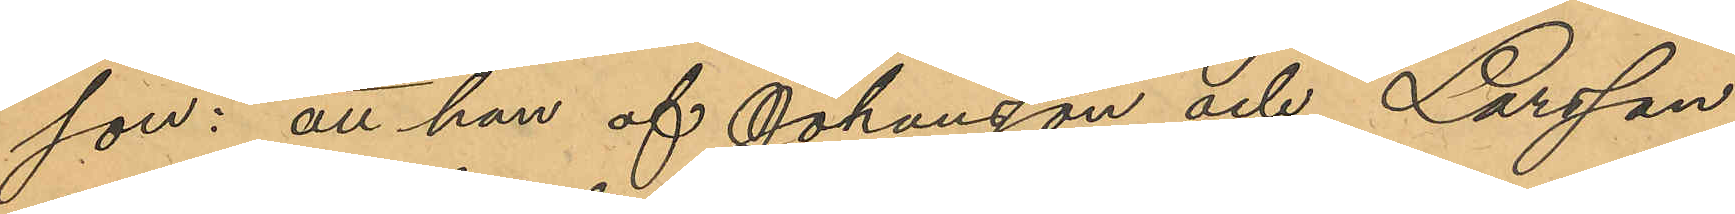son: att han af Johanson och Larsson
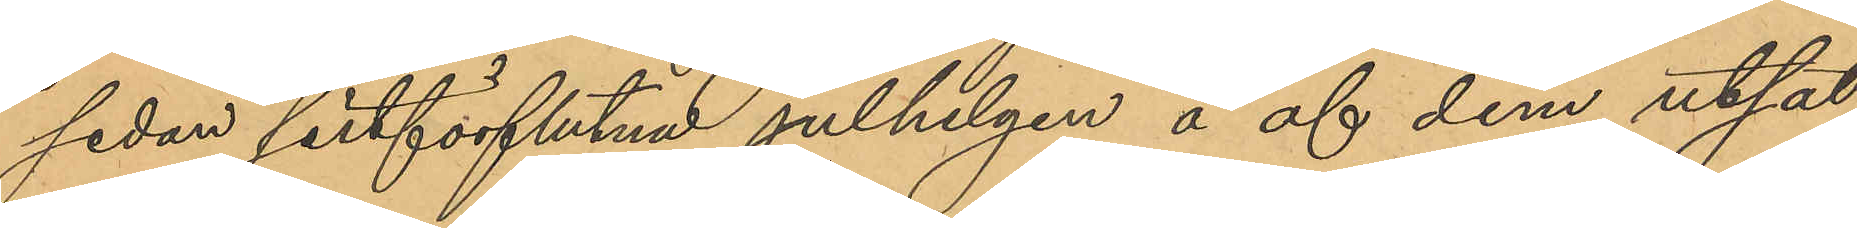sedan sistförflutna julhelgen å af dem utsat¬
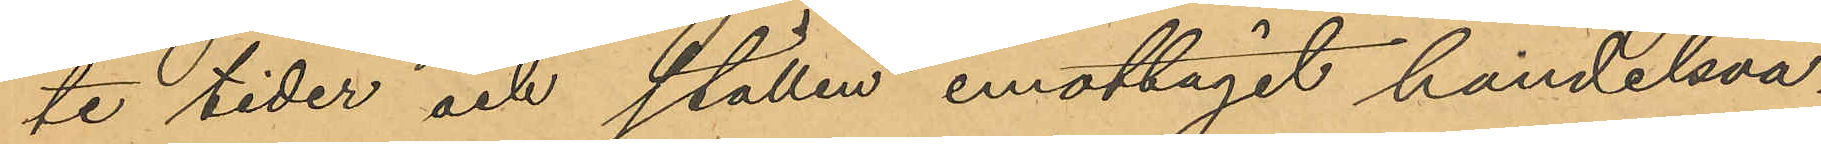te tider och ställen emottagit handelsva¬
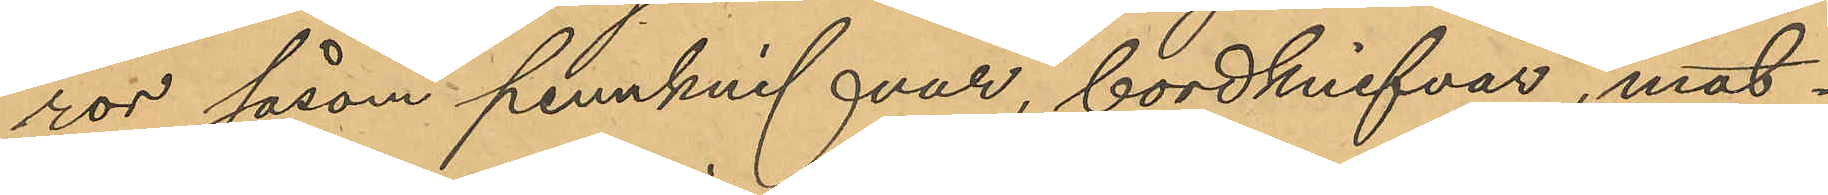ror såsom pennknifvar, bordknifvar, mat¬
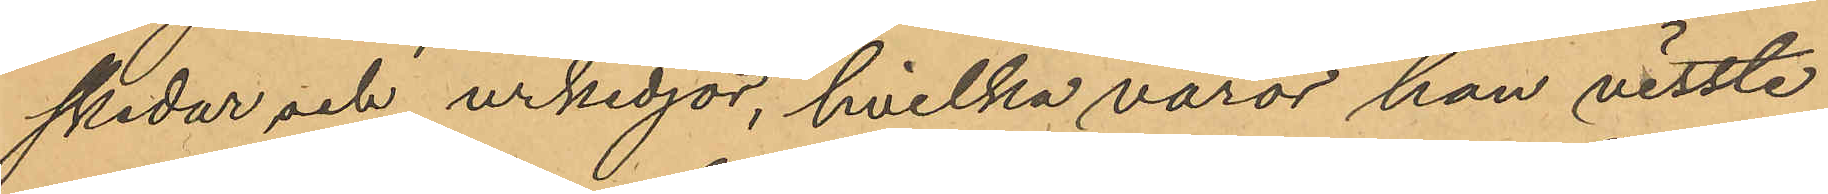skedar och urkedjor, hvilka varor han visste
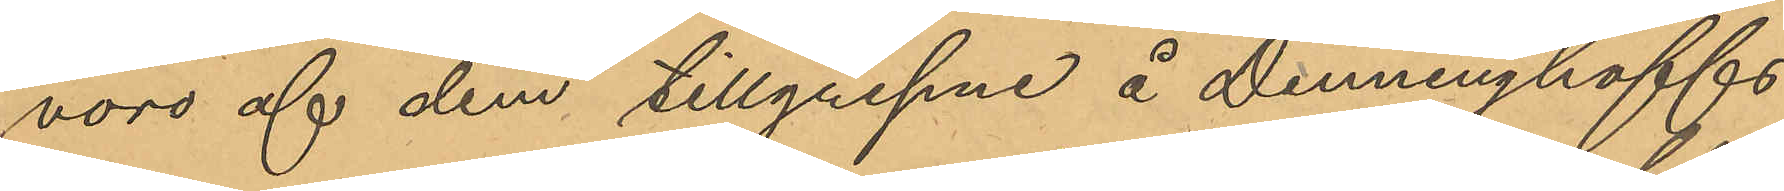voro af dem tillgripne å Denninghoffs
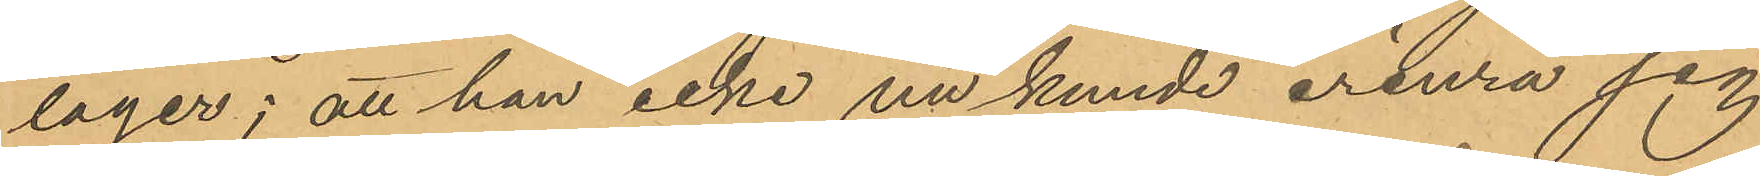lager; att han icke nu kunde erinra sig
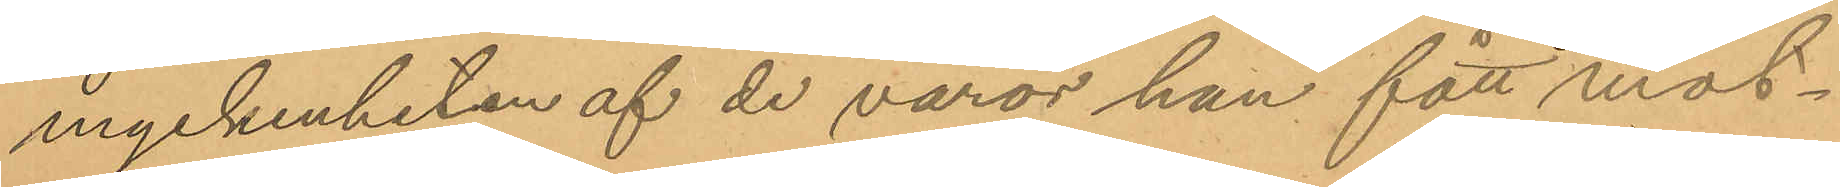myckenheten af de varor han fått mot¬
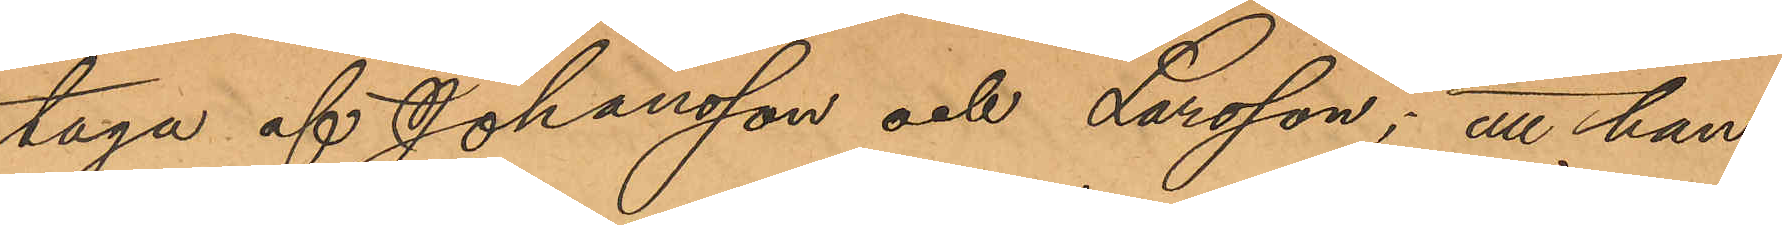taga af Johansson och Larsson; att han
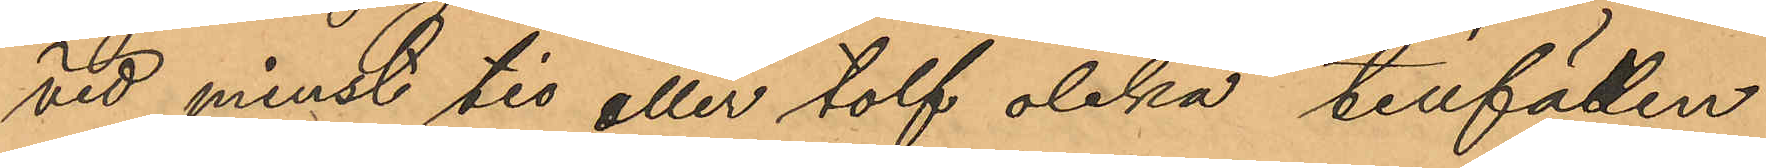vid minst tio eller tolf olika tillfällen
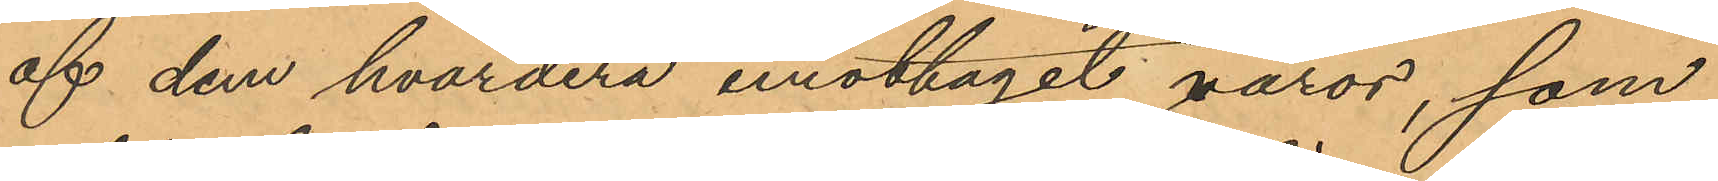af dem hvardera emottagit varor, som
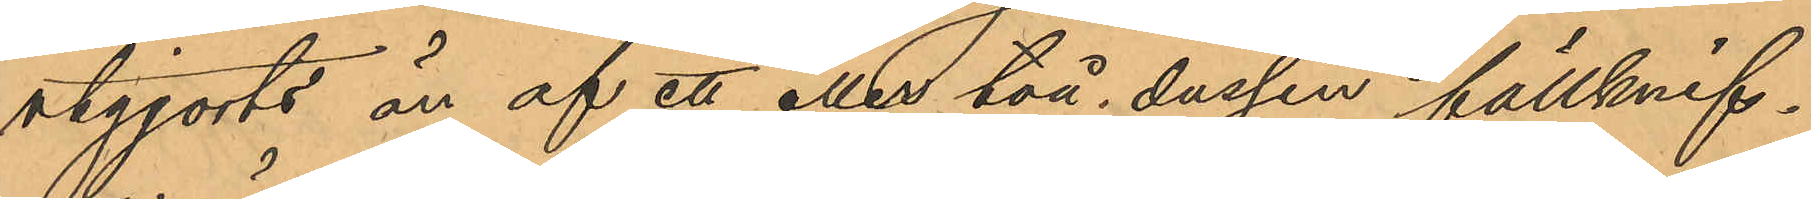utgjorts än af ett eller två dussin fällknif¬
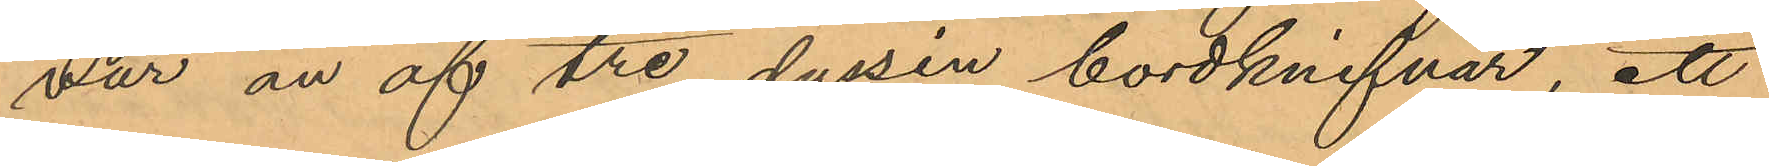var än af tre dussin bordknifvar, ett
